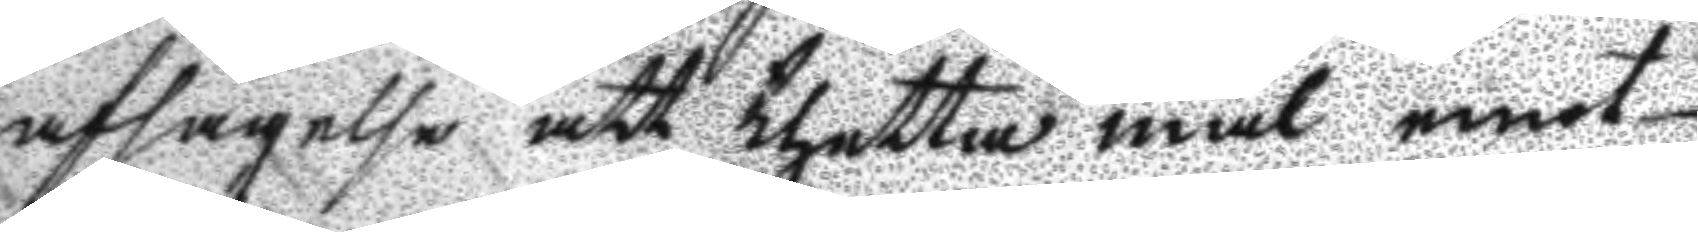afsägelse att thetta mål emot
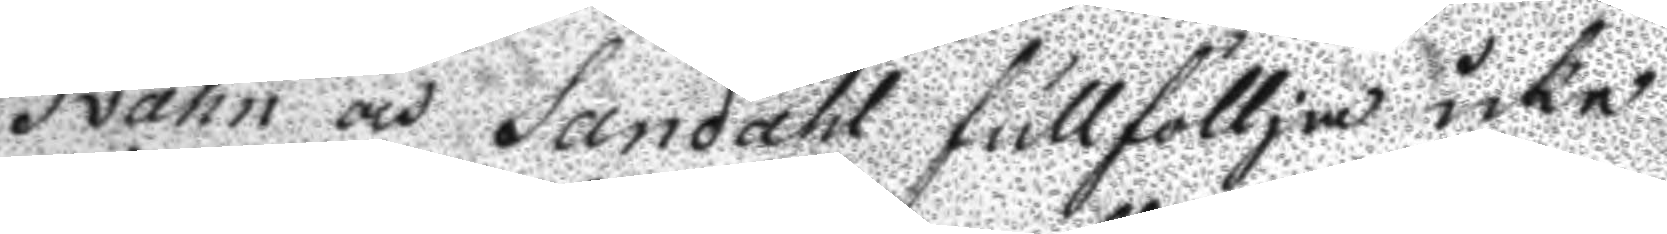Svahn och Sandahl fullfölja icke 
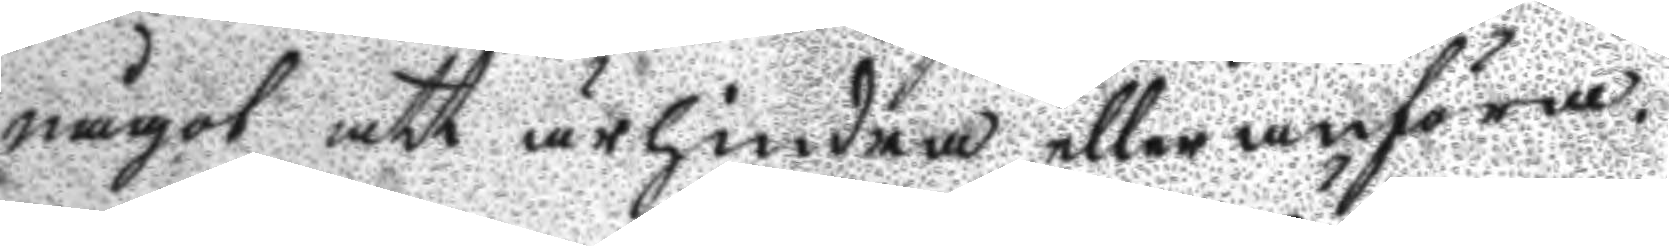något att äfhindra eller anföra.
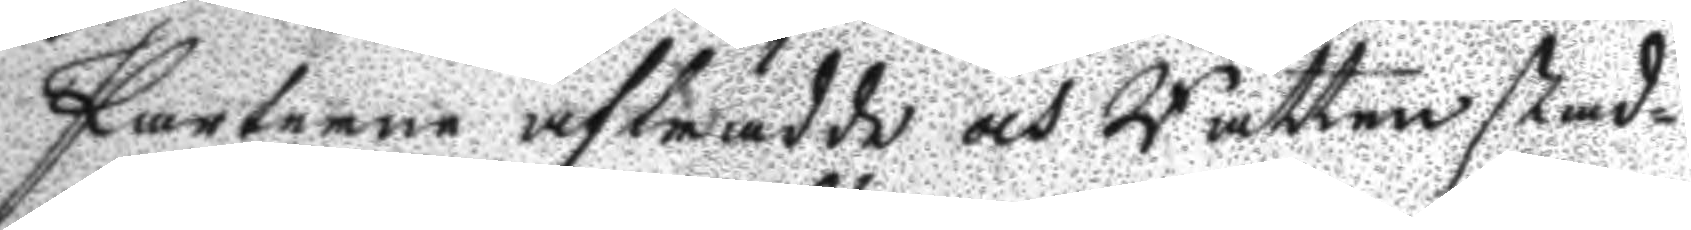Parterne afträdde och Rätten stad¬
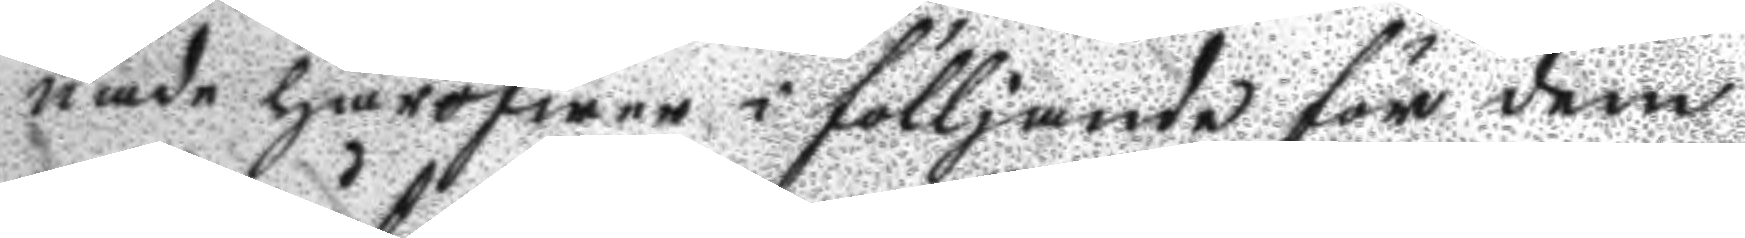nade häröfwer i fölljande för dem
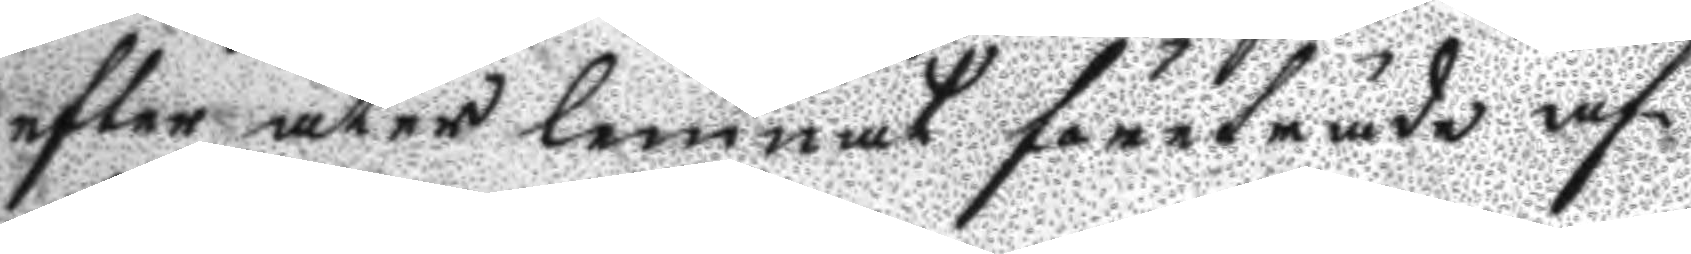efter åter lemnat företräde af¬
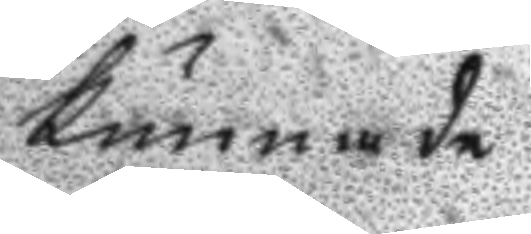kunnade
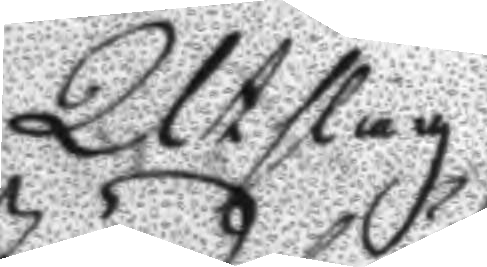Utslag
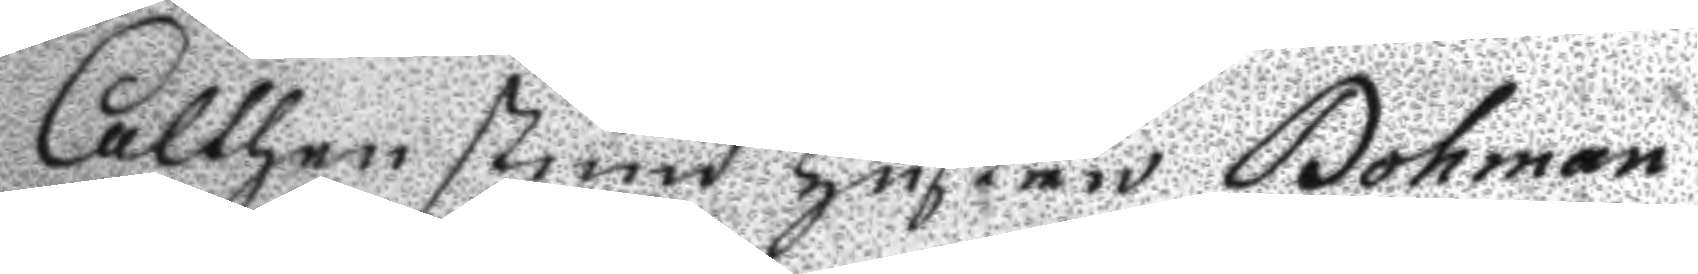Aalthen stund hustru Bohman
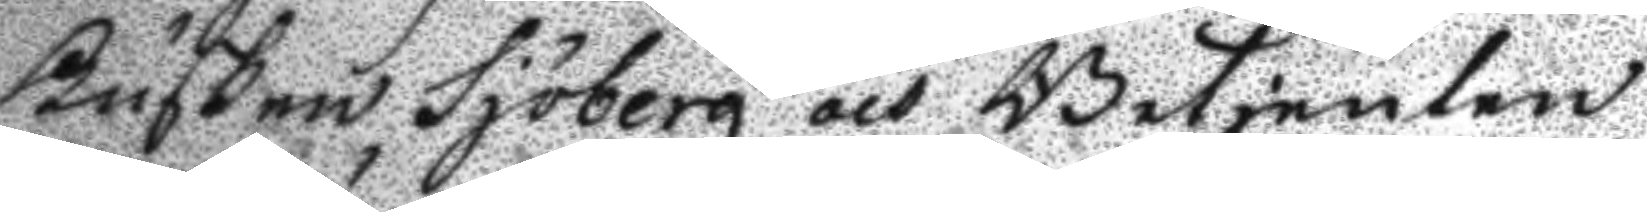Kusken Sjöberg och Betjenten
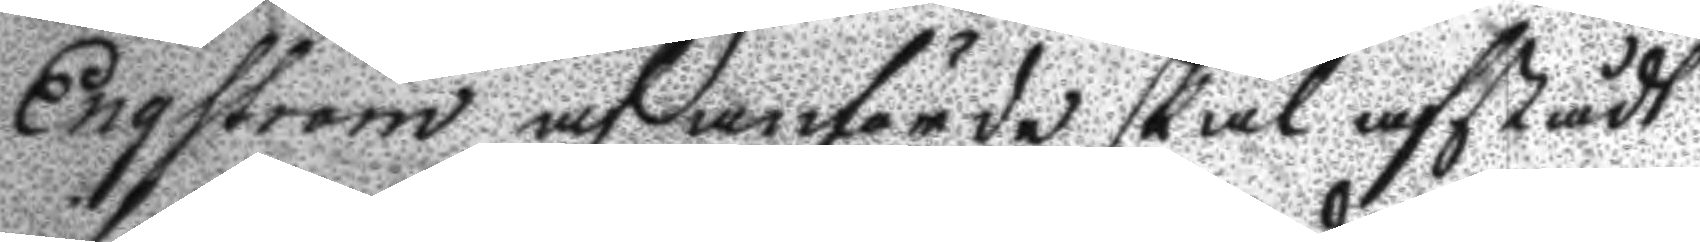Engström af anförde skäl afstådt
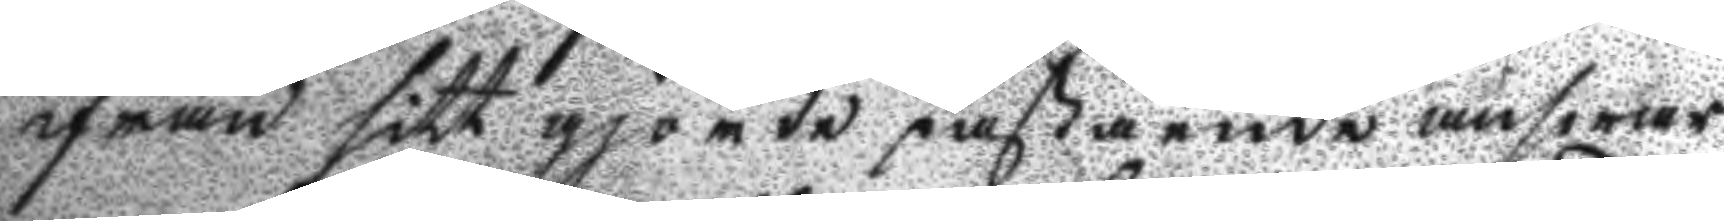ifrån sitt gjorde påstående answar
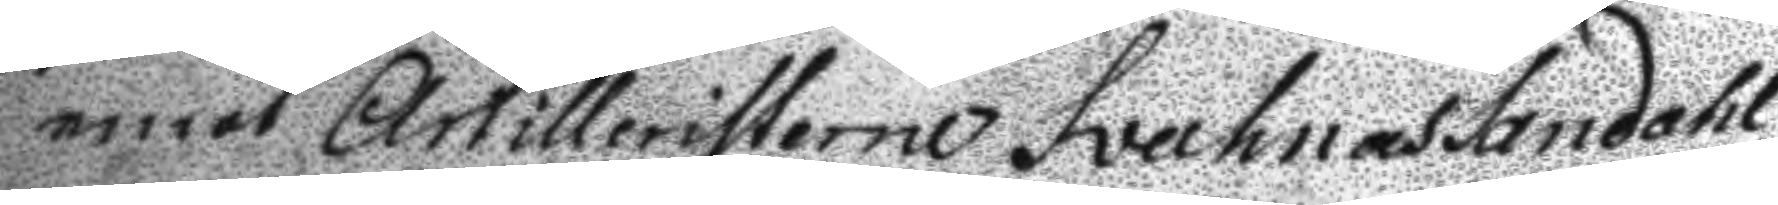emot Artilleristerne Svahn och Sandahl,
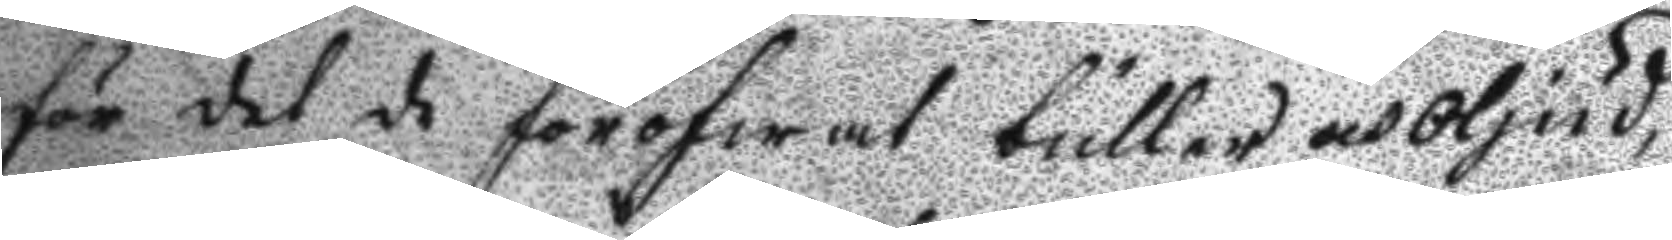för det de föröfwat buller och oljud,
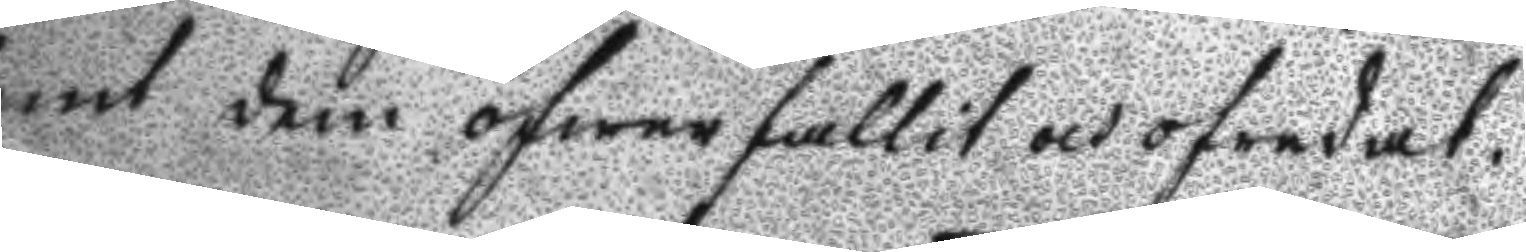samt dem öfwerfallit och ofredat.
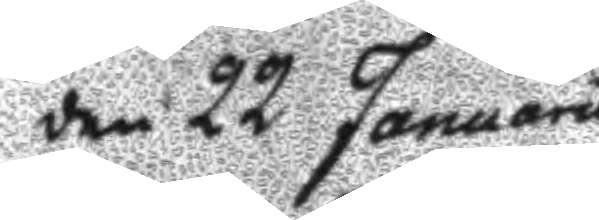den 22 Januarii
